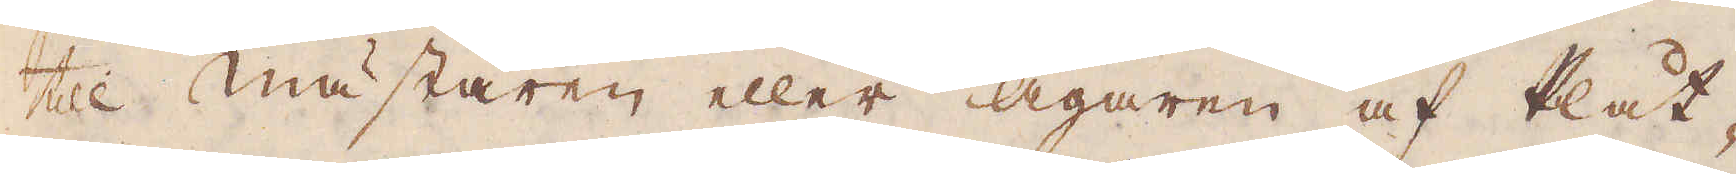till Mästaren eller Ägaren af Plåt-
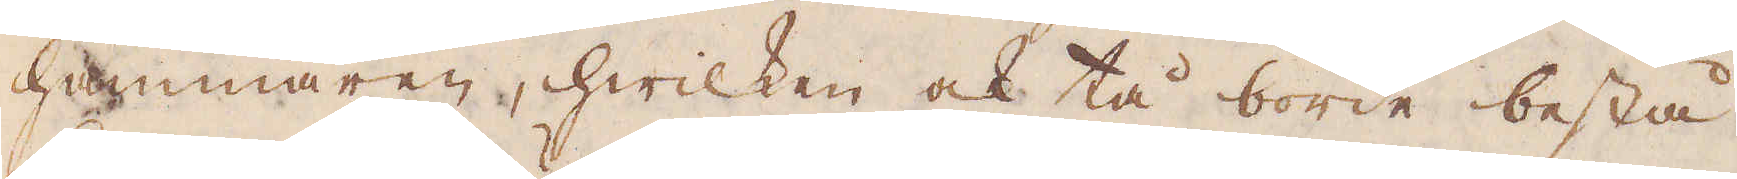hammaren, hwilken ock tå borde bestå
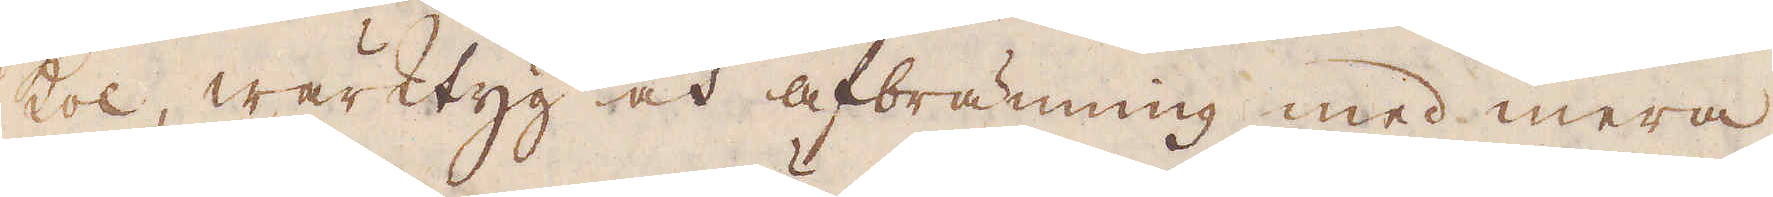kol, wärktyg och afbränning med mera,
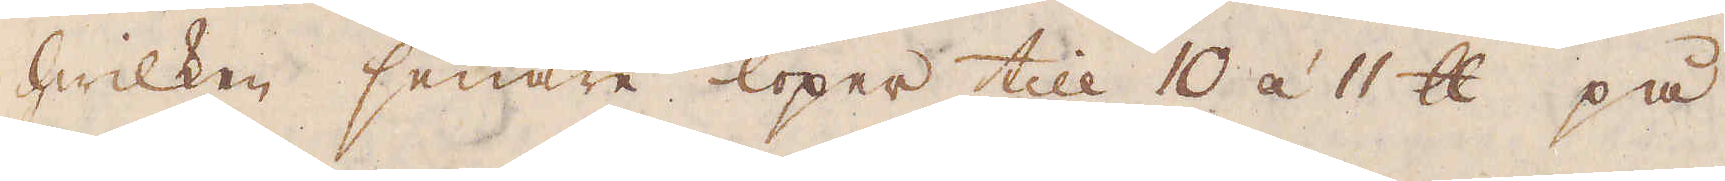hwilken senare löper till 10 á 11 skålpund på
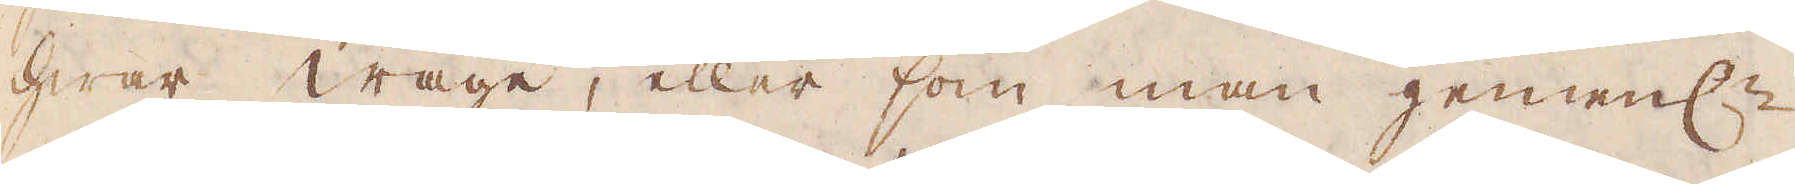hwar wage, eller som man gemenl:n
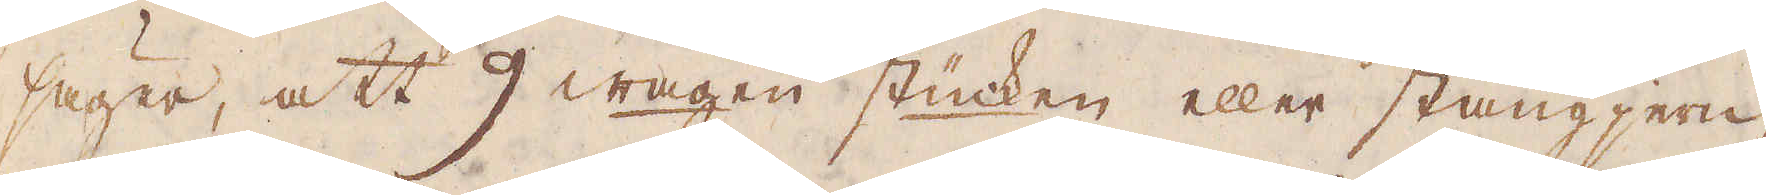säger, att 9 wagen stüicken eller stångjern,
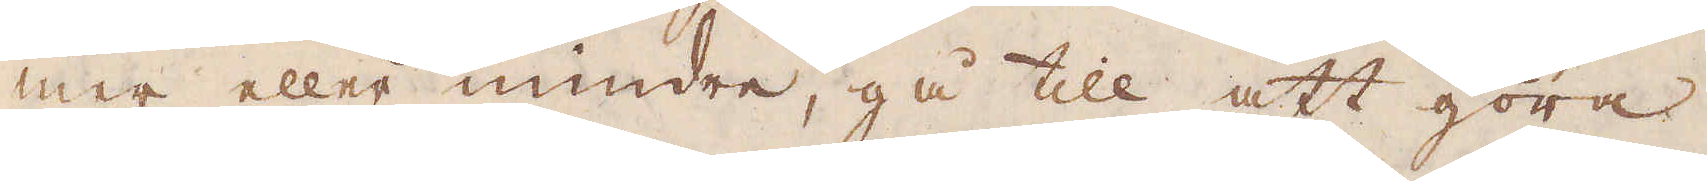mer eller mindre, gå till att göra
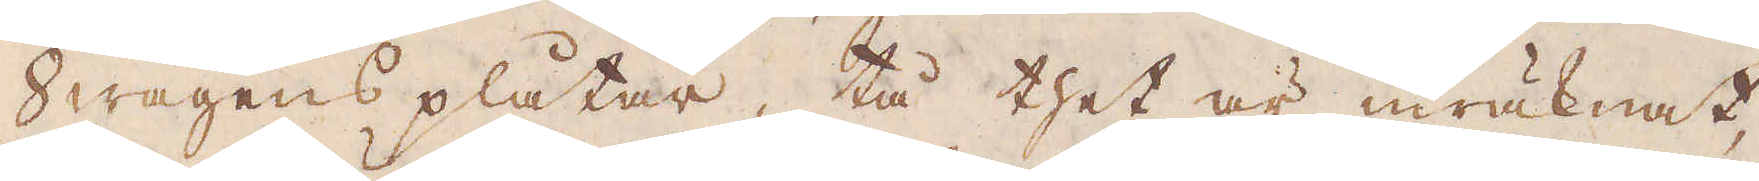Swagens plåtar, tå thet är inräknat,
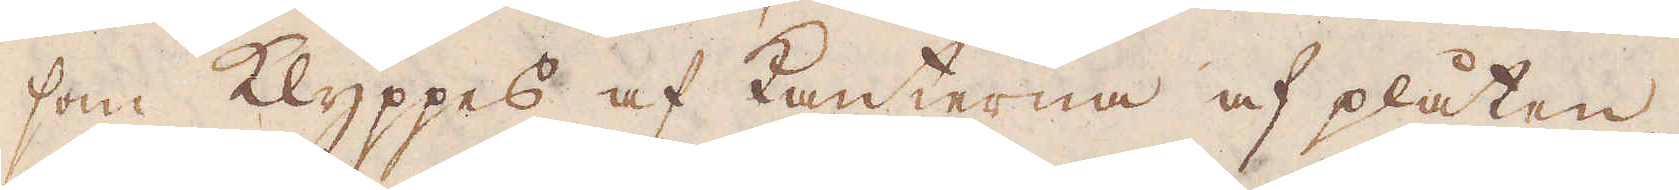som klyppes af kanterna af plåten
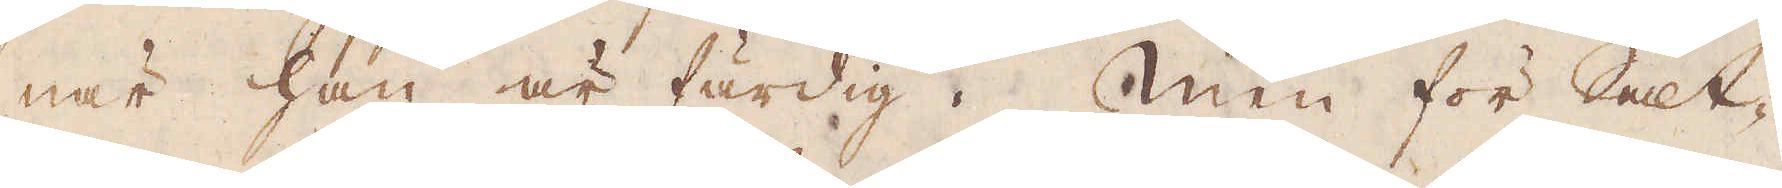när han är färdig. Men för Salt-
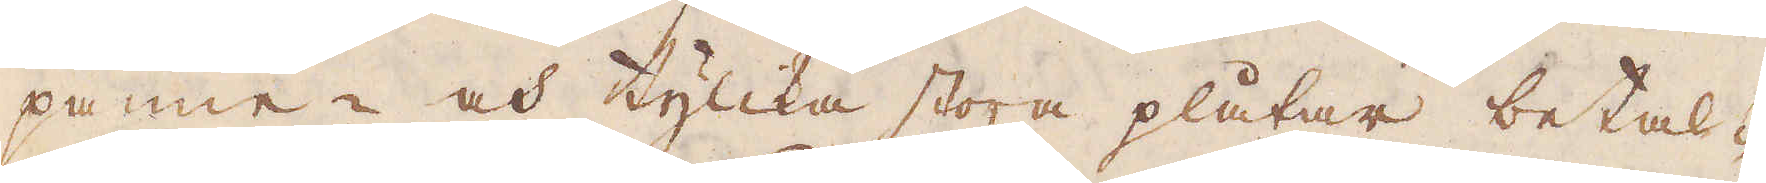panne- och tylika stora plåtar betal-
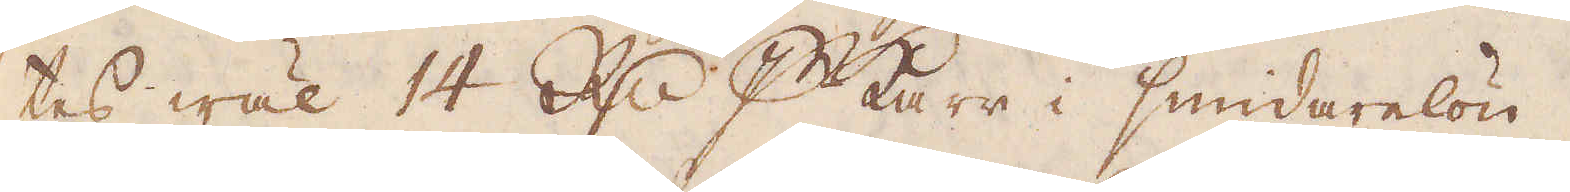tes wäl 14 R:dr p karr i smidarelön.
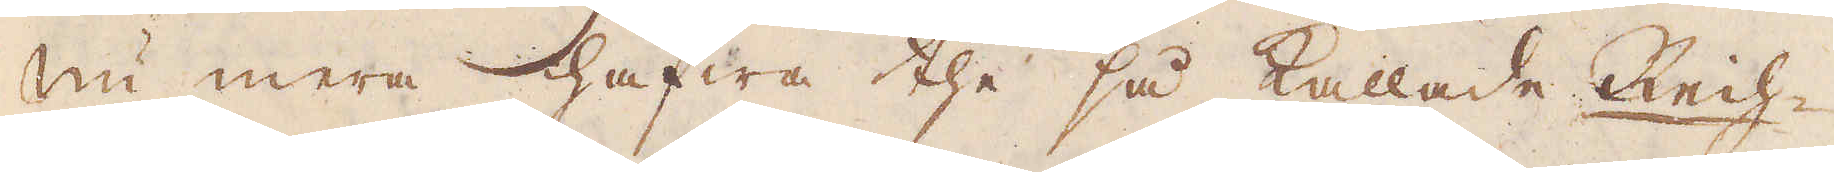Nu mera hafwa the så kallade Rech-
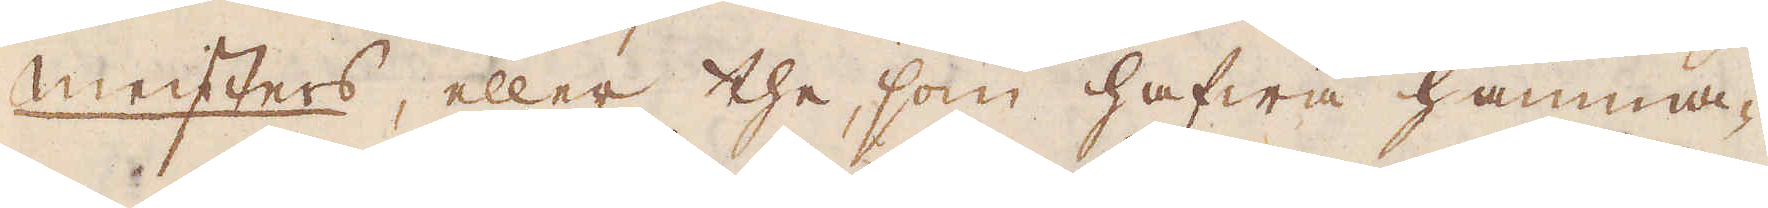meisters, eller the, som hafwa hamma-
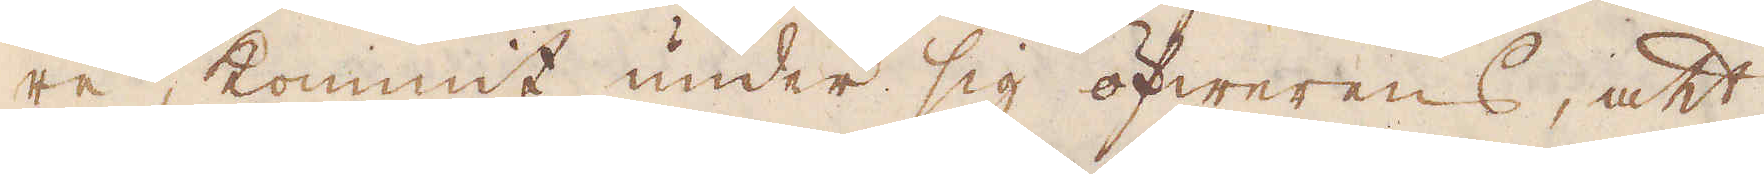re, kommit under sig öfwerens, att
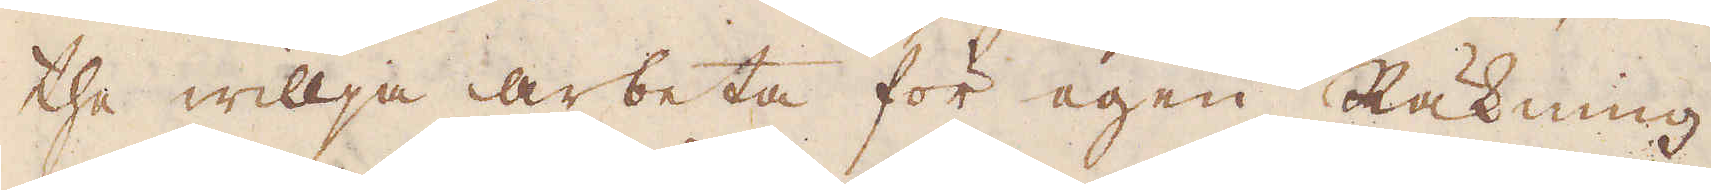the willja arbeta för egen Räkning,
